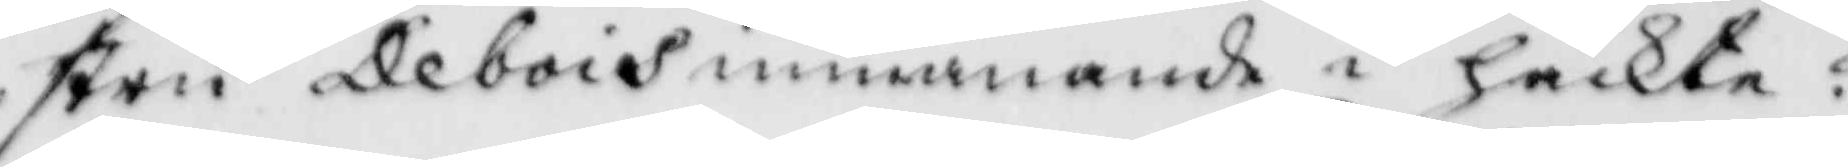stry Debois inmanande i häckte:
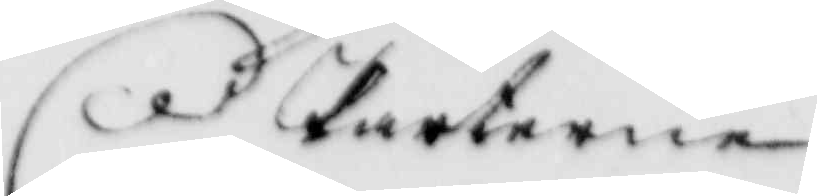Parterne
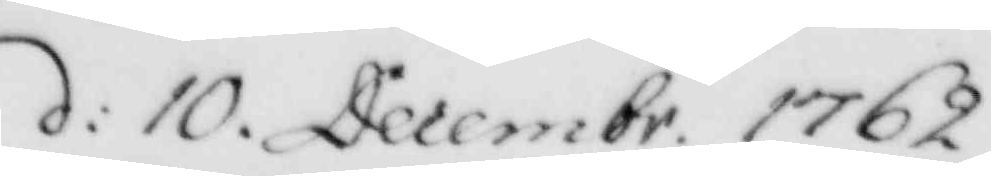d: 10 Decembr. 1762.
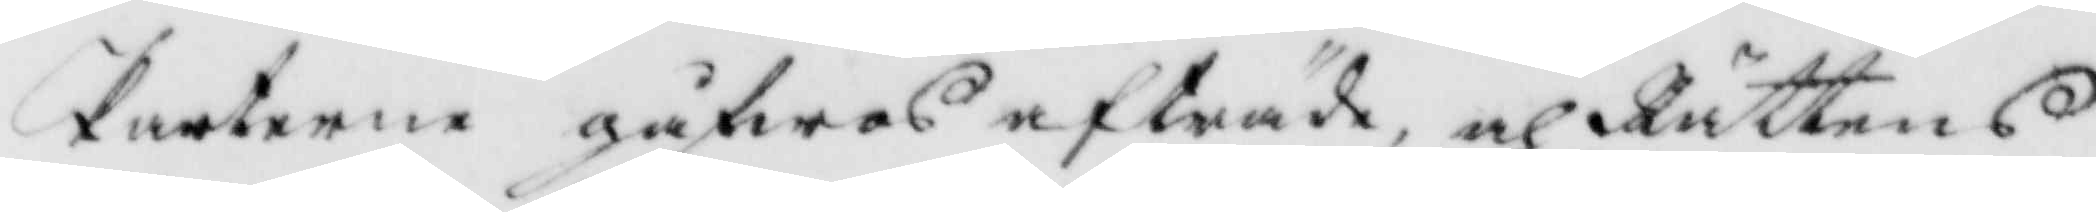Parterne gåfwos afträde, och Rättens
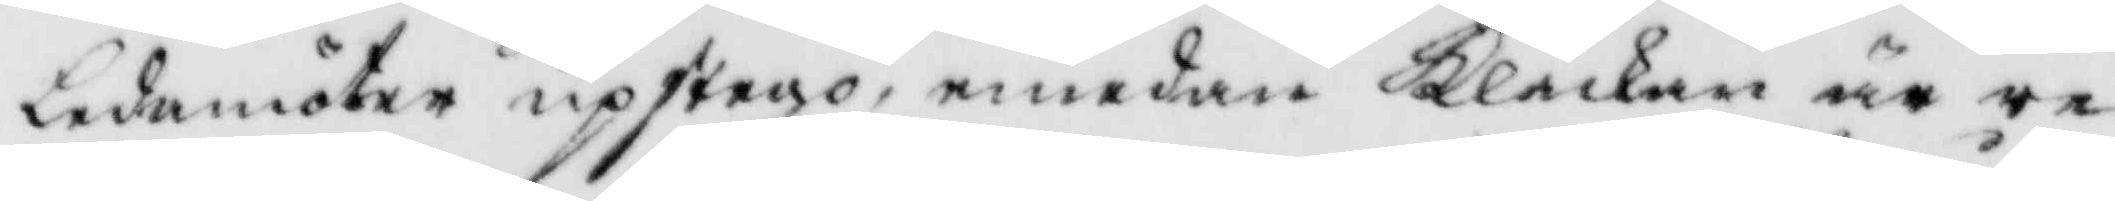ledamöter upstego, emedan Klåckan är er¬
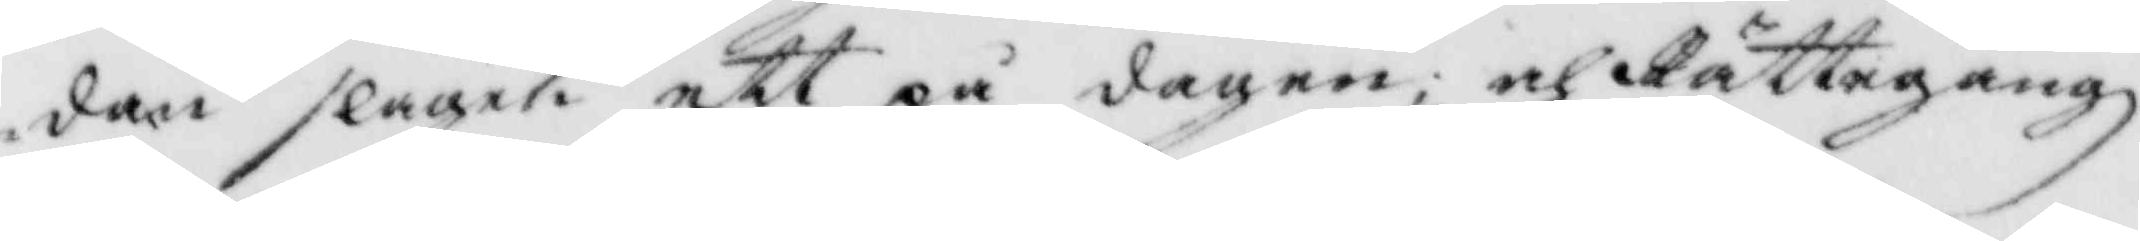dan slagen ett på dagen; och Rättegångz¬
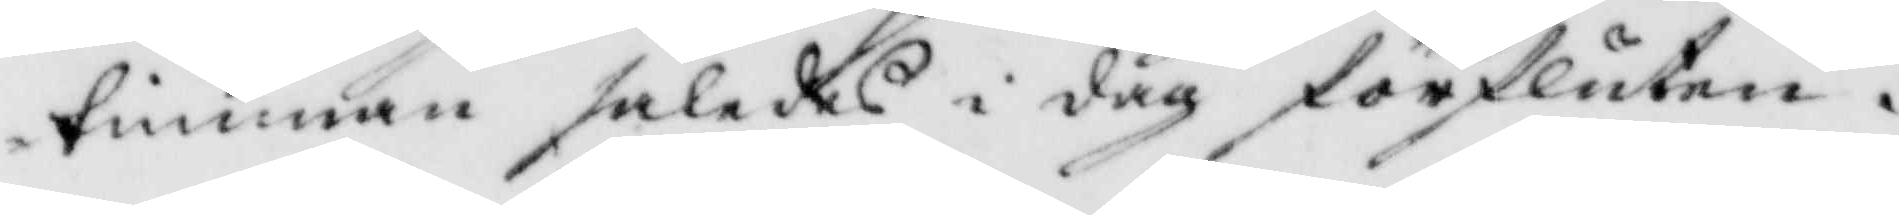timman således i dag försluten.
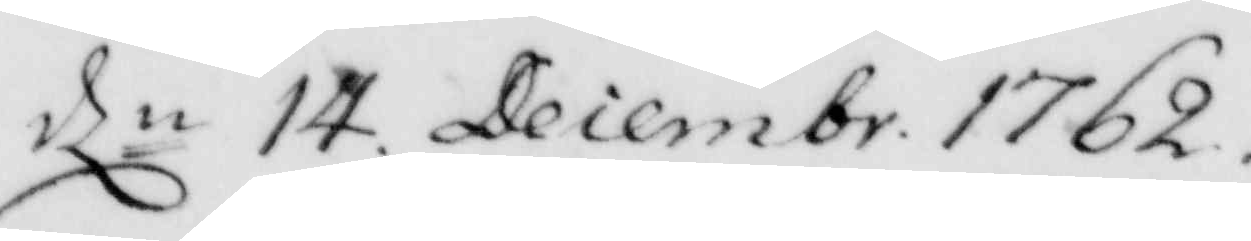dln 14. Decembr. 1762.
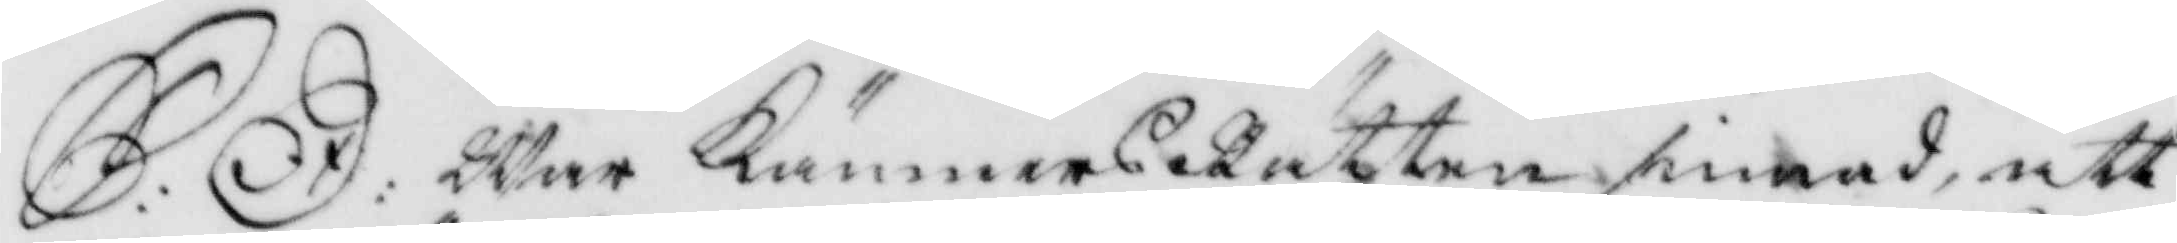S:D: War KämnersRätten sinnad att
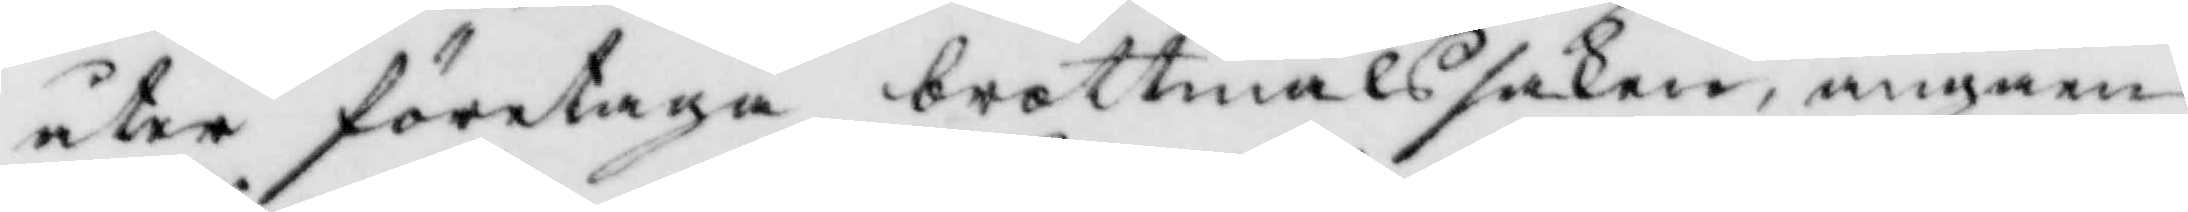åter företaga brottmålssaken, angåen¬
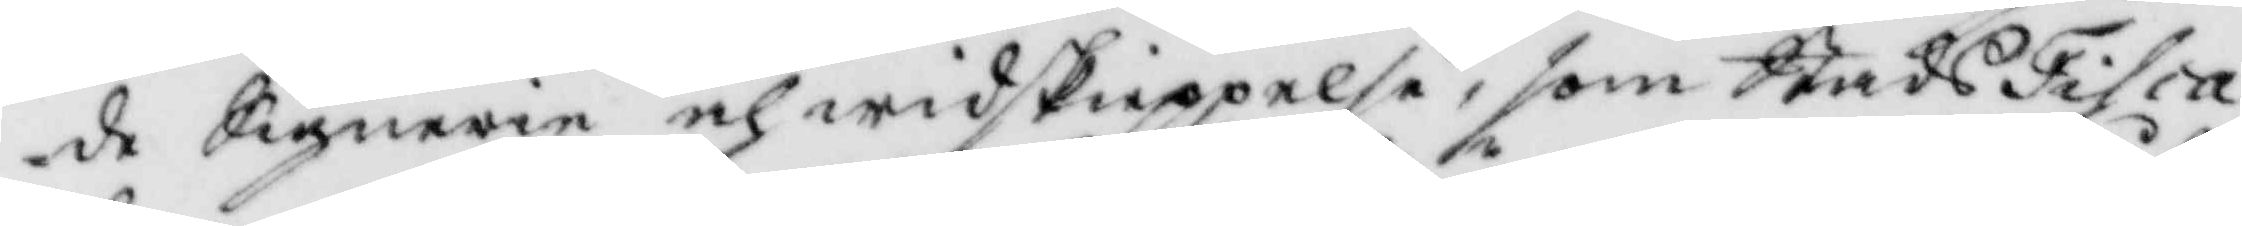de Signerie och widskieppelse, som StadsFisca¬
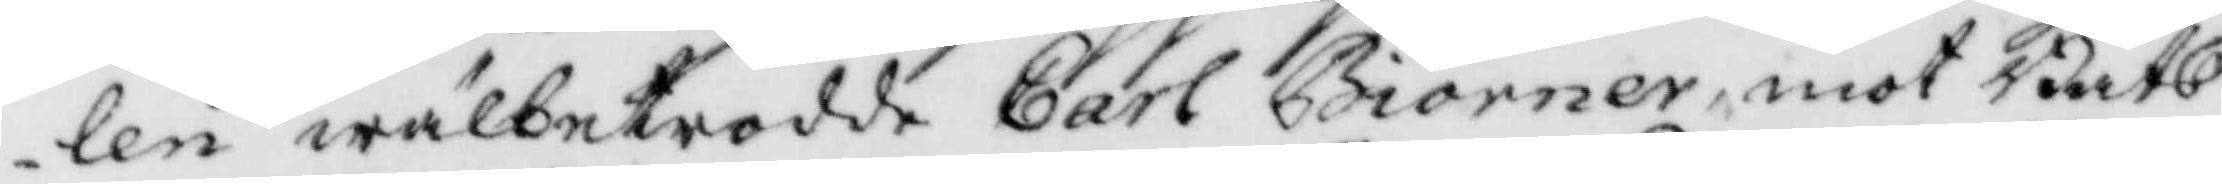len wälbetrodde Carl Biörner, mot Båts¬
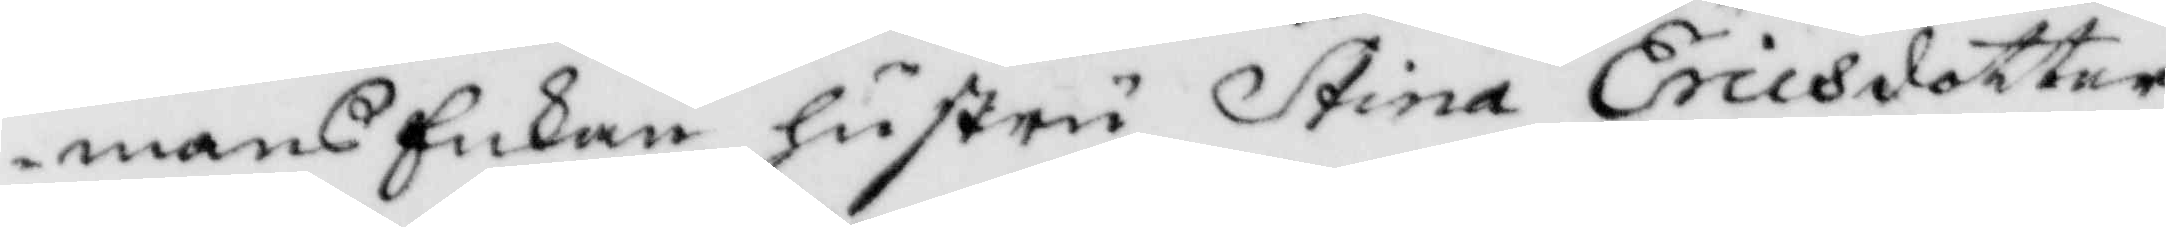mans Enkan hustru Stina Ericsdotter
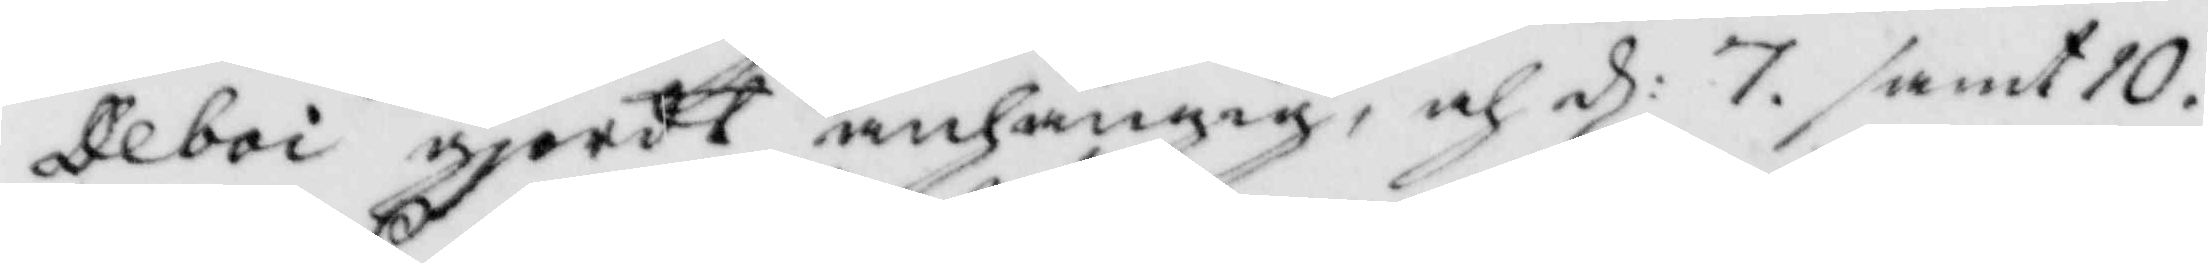Deboi gjordt anhängig, och d: 7. samt 10.
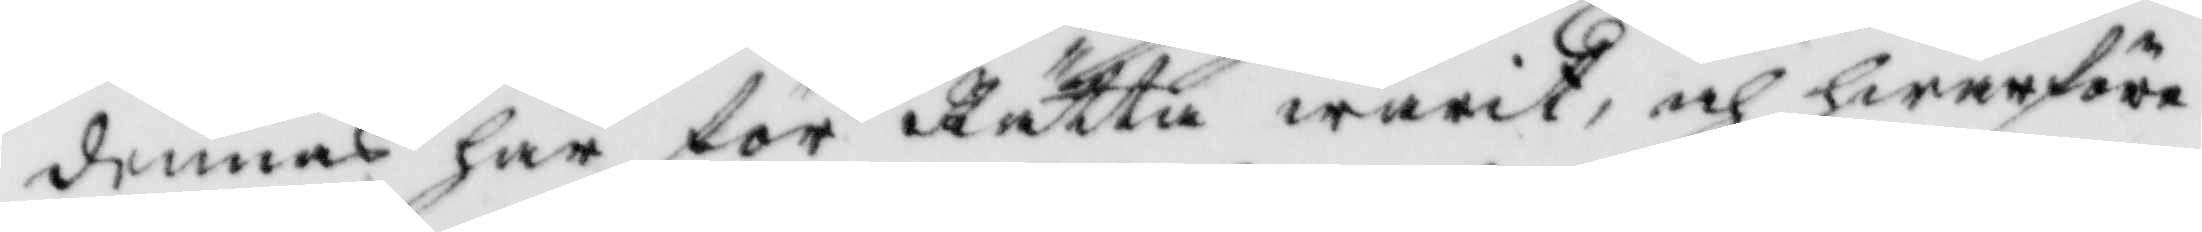denne här för Rätta warit, och hwarföre
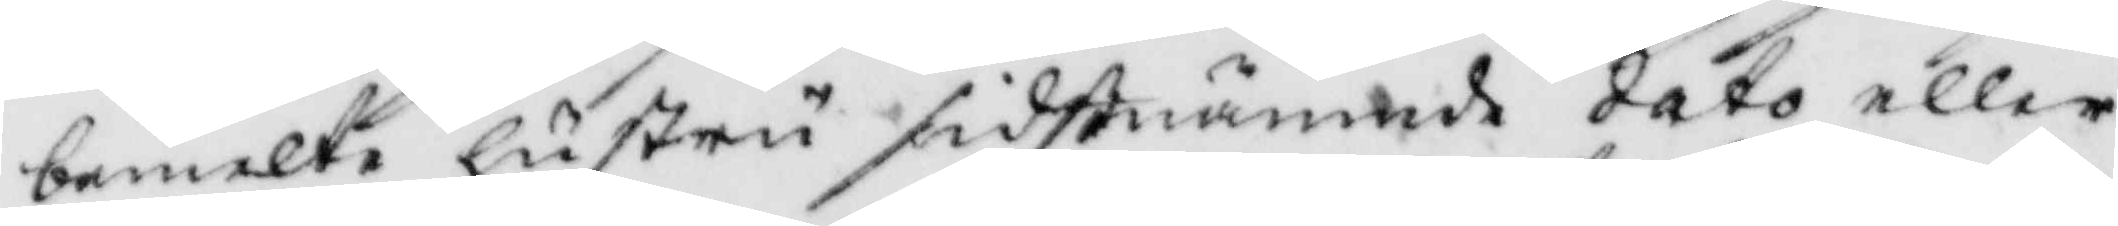bemelte hsutru sidstnämde dato eller
